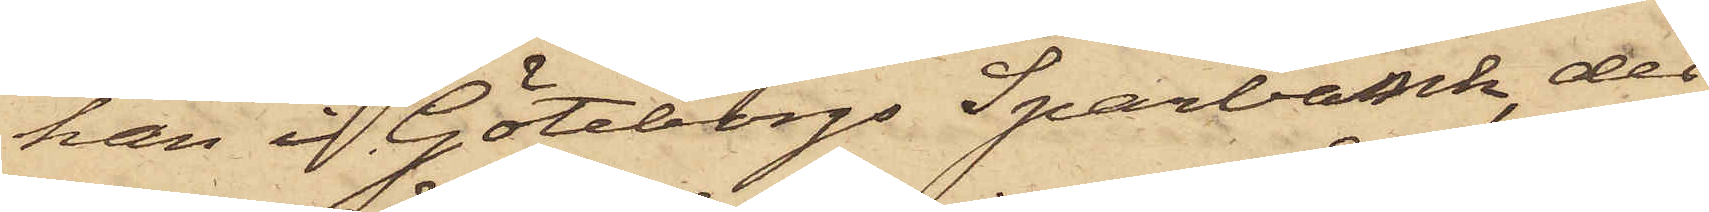han i Göteborgs Sparbank, der
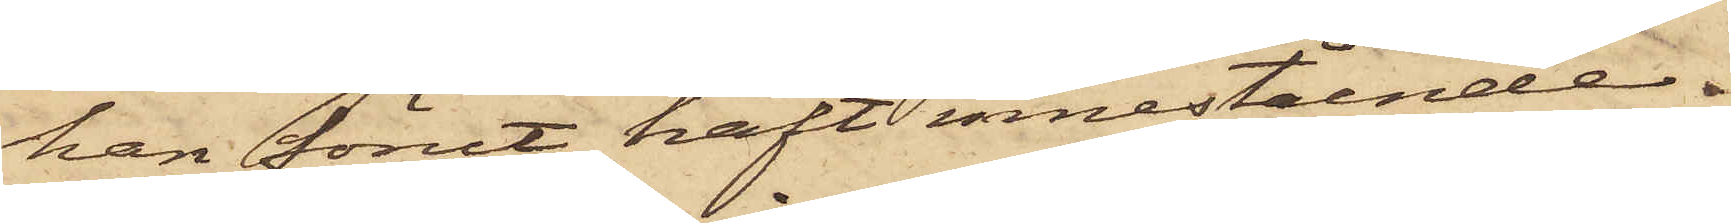han förut haft innestående
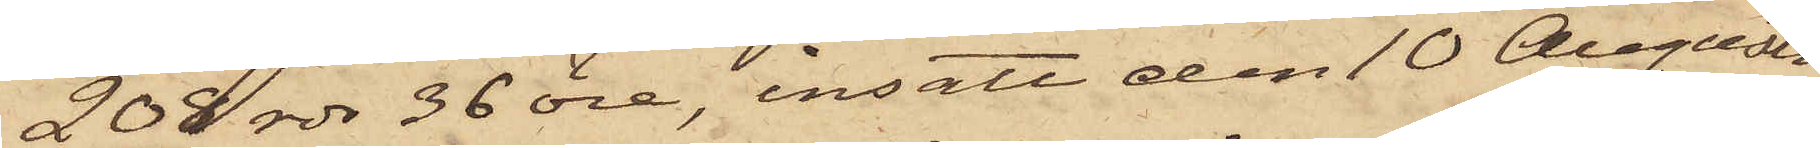208 rdr 36 öre, insatt den 10 Augusti
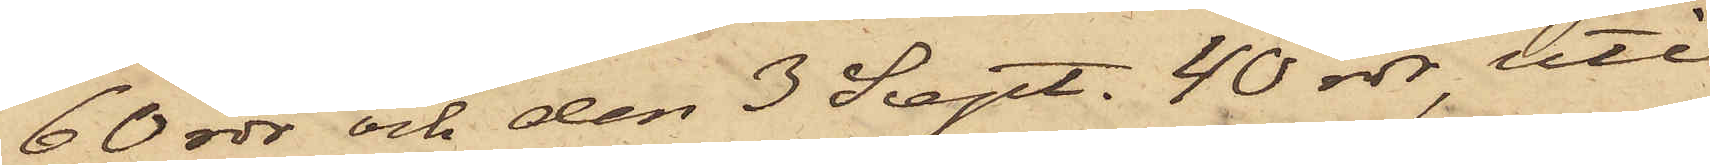60 rdr och den 3 Sept. 40 rdr, uti
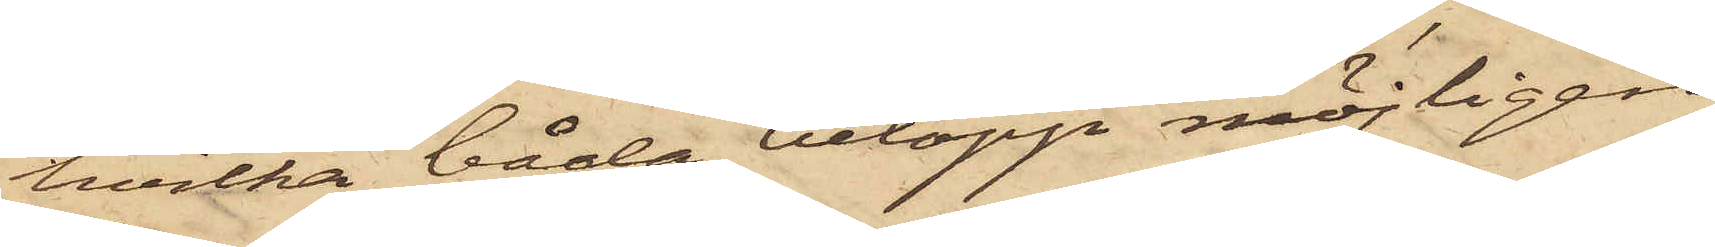hvilka båda belopp möjligen
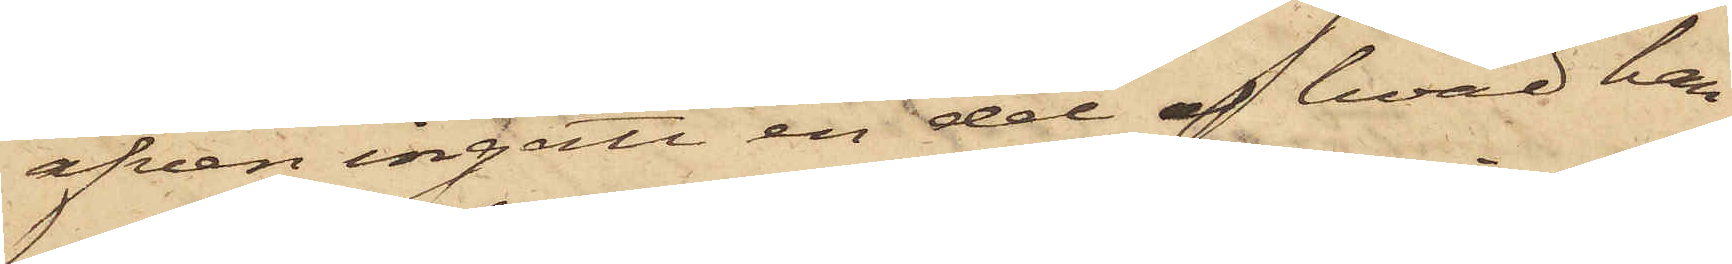äfven ingått en del af hvad han
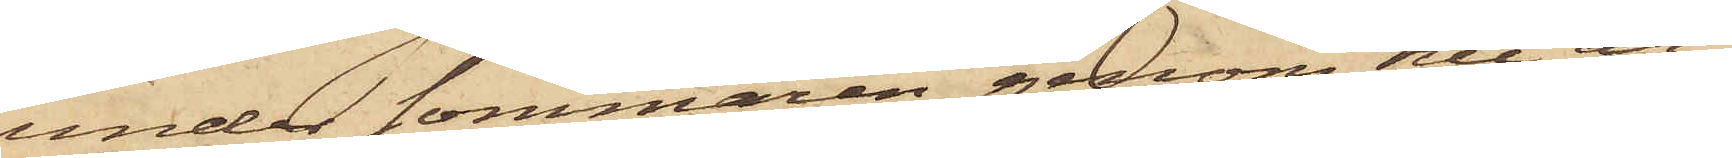under sommaren genom sitt ar¬
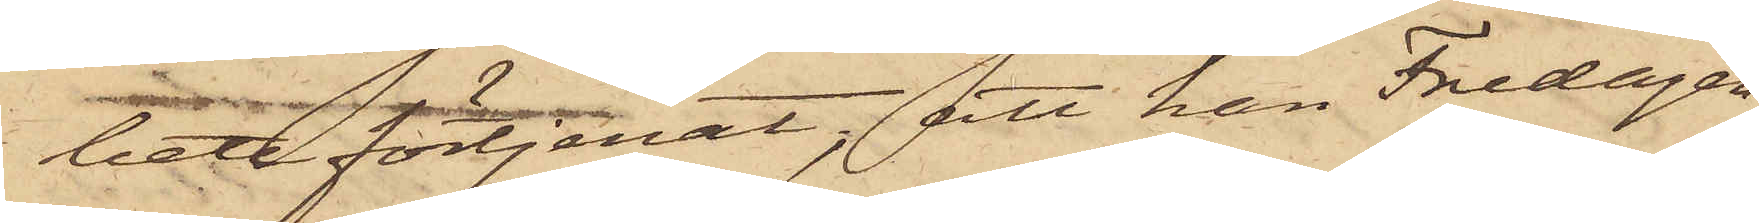tat förtjenat; att han Fredagen
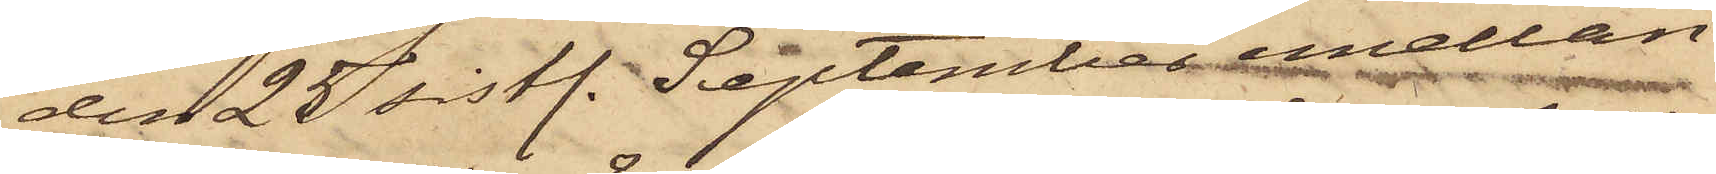den 25 sistl. September emellan
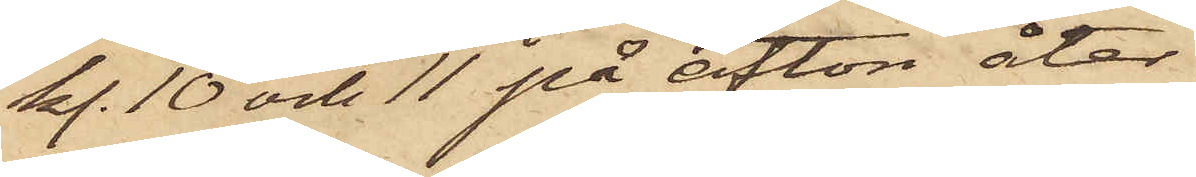kl. 10 och 11 på afton åter
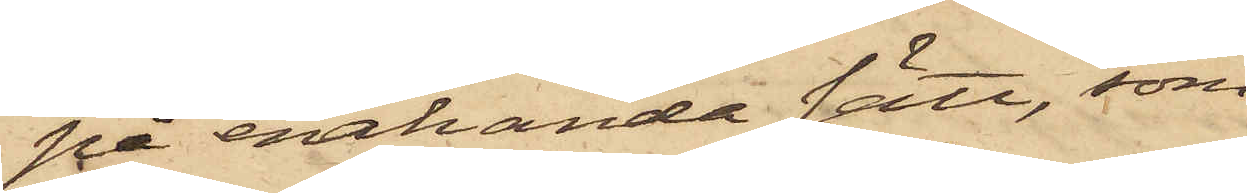på enahanda sätt, som
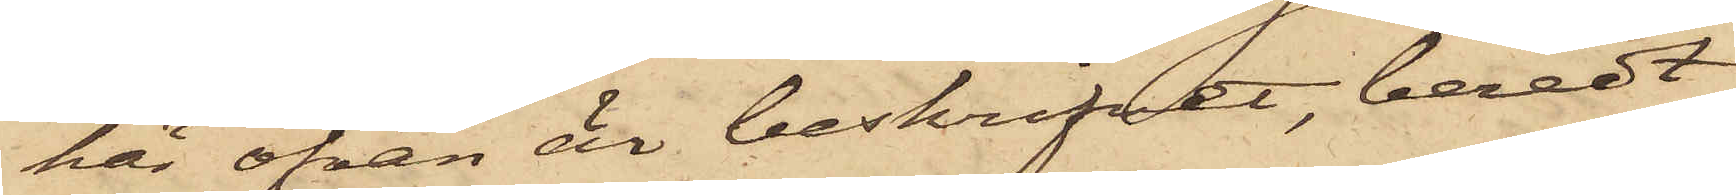här ofvan är beskrifvet, beredt
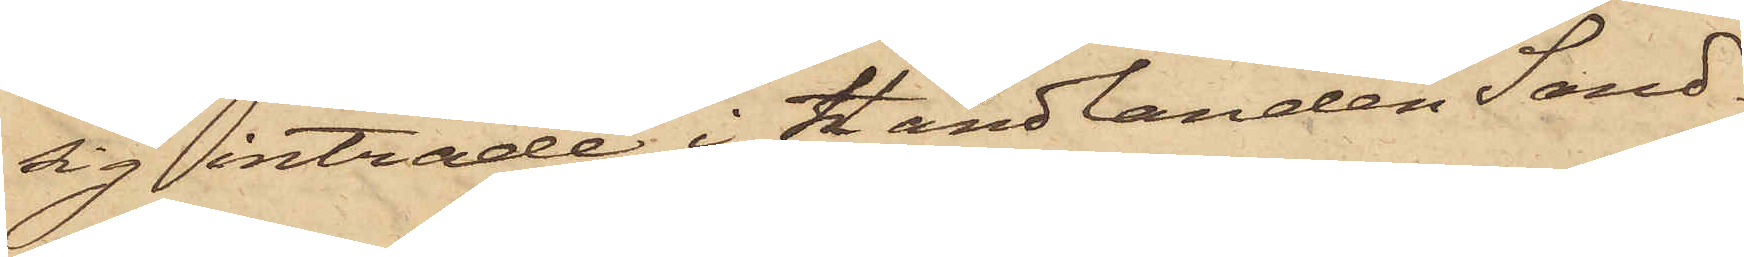sig inträde i Handlanden Sand¬
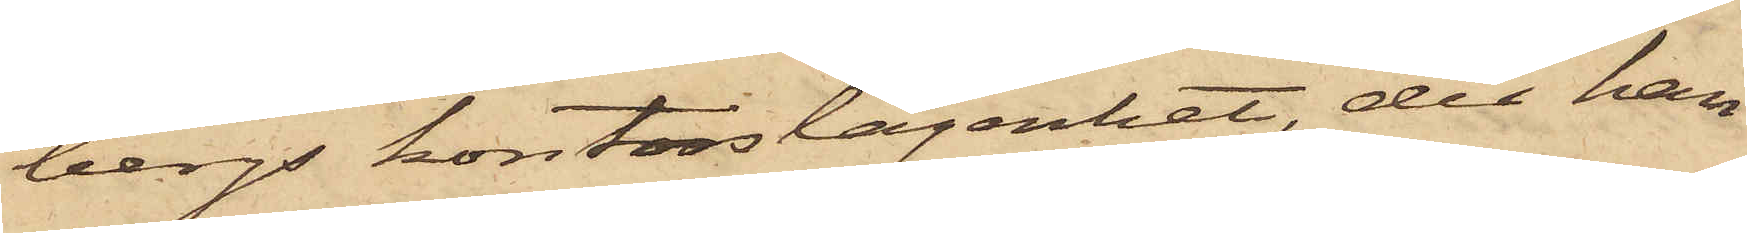bergs kontorslägenhet, der han
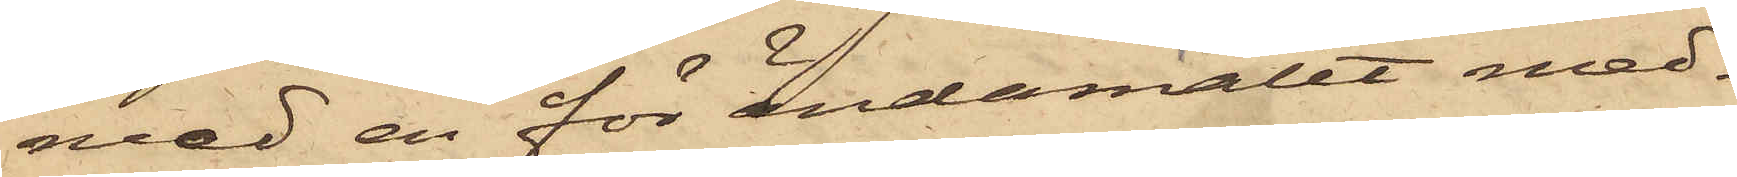med en för ändamålet med¬
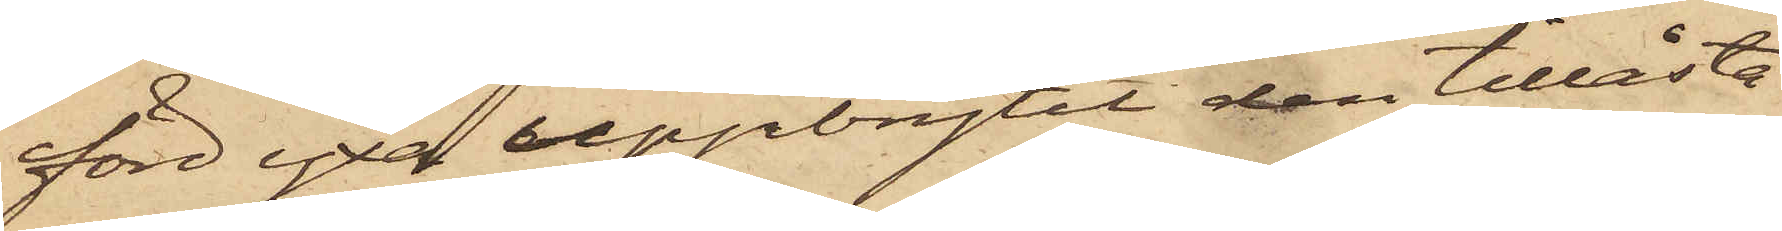förd yxa uppbrytit den tillåsta
